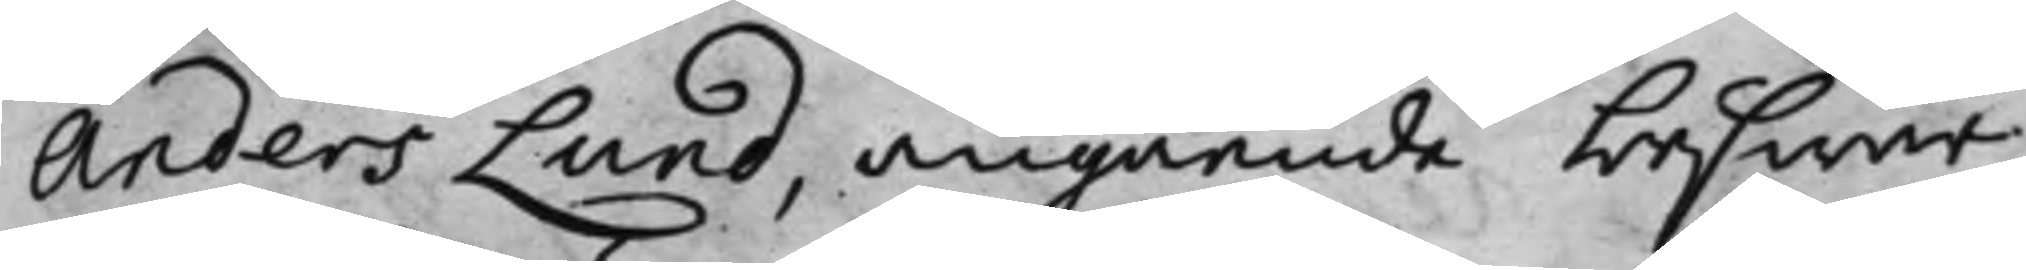Anders Lund, angående beswär
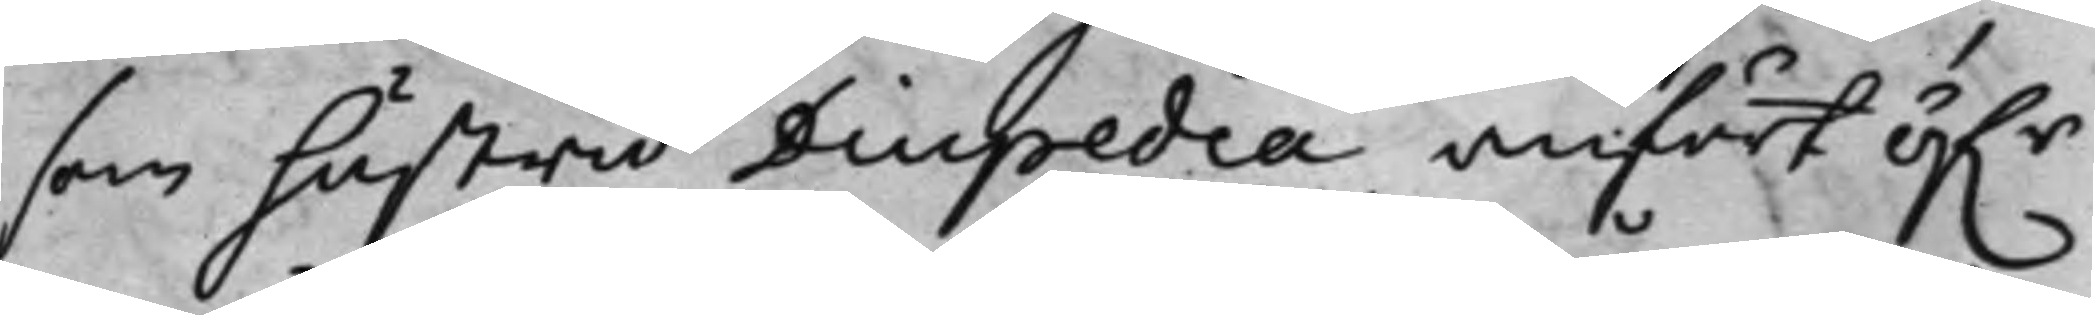som hustru Diupedia, anfört öf.r
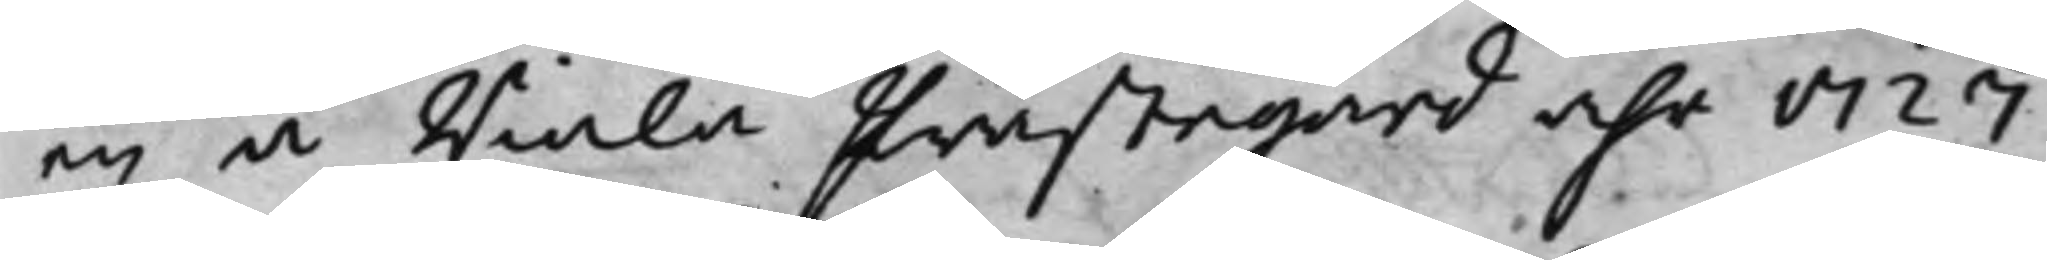en å Riala Prästegård åhr 1727
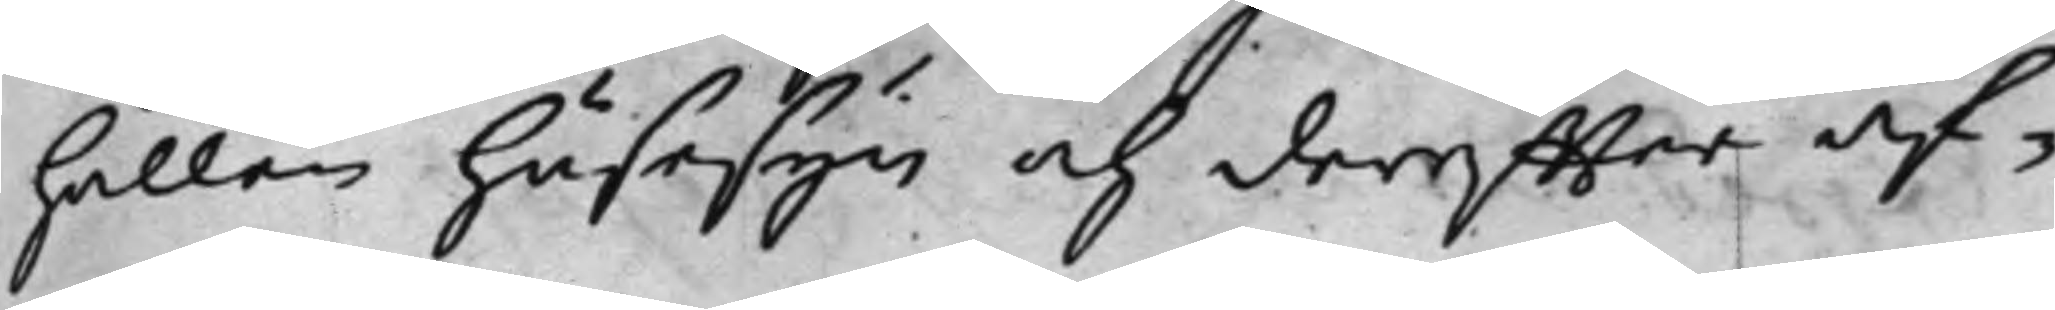hållen husesyn och dereffter af¬
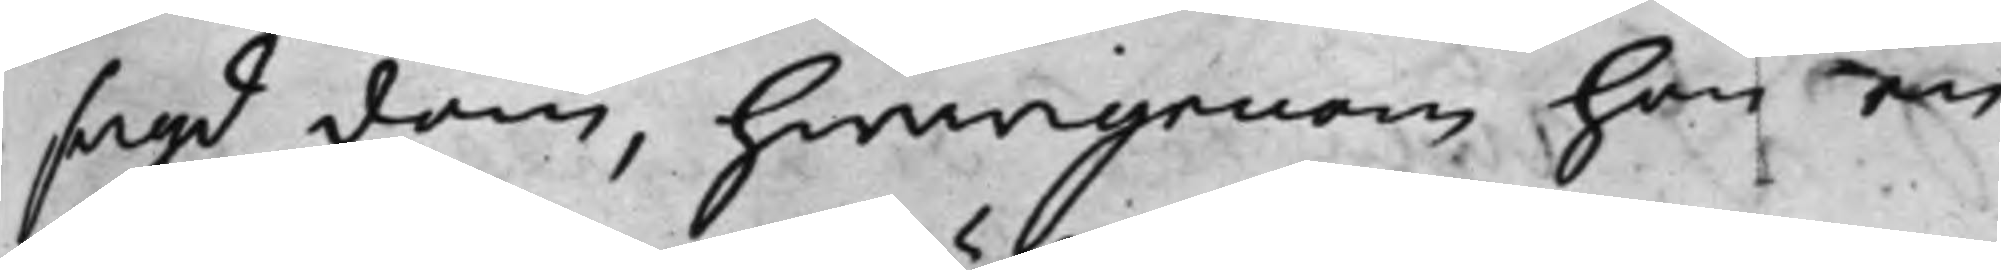sagd dom, hwarigenom hon en
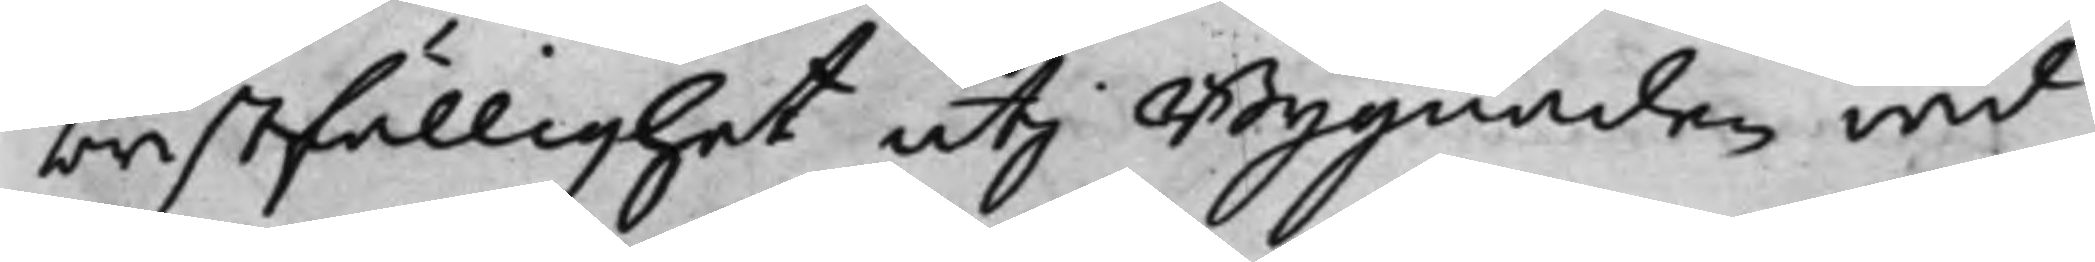bristfällighet uti Bygnaden wid
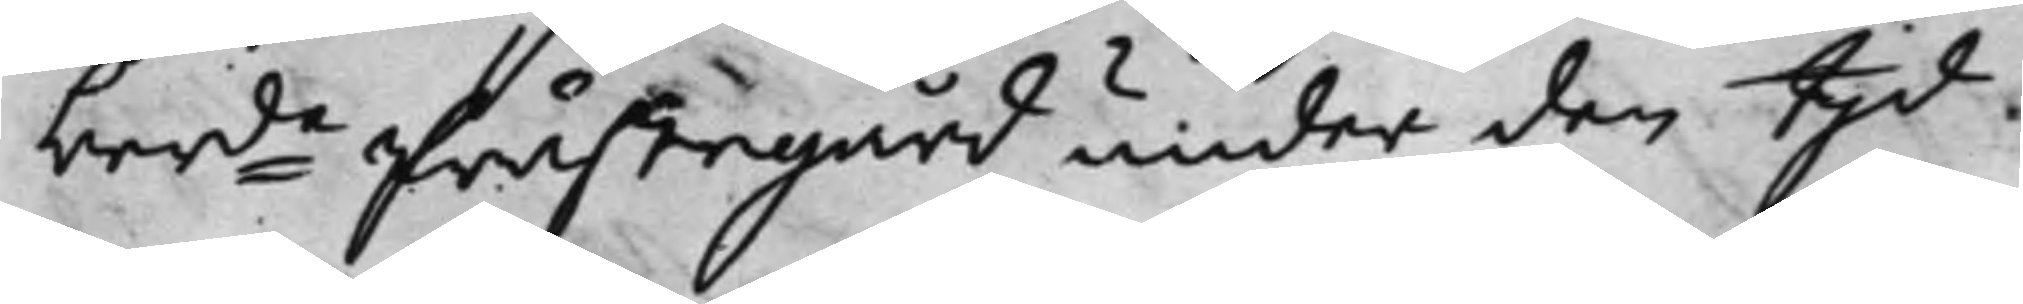berde Prästegård under den tijd
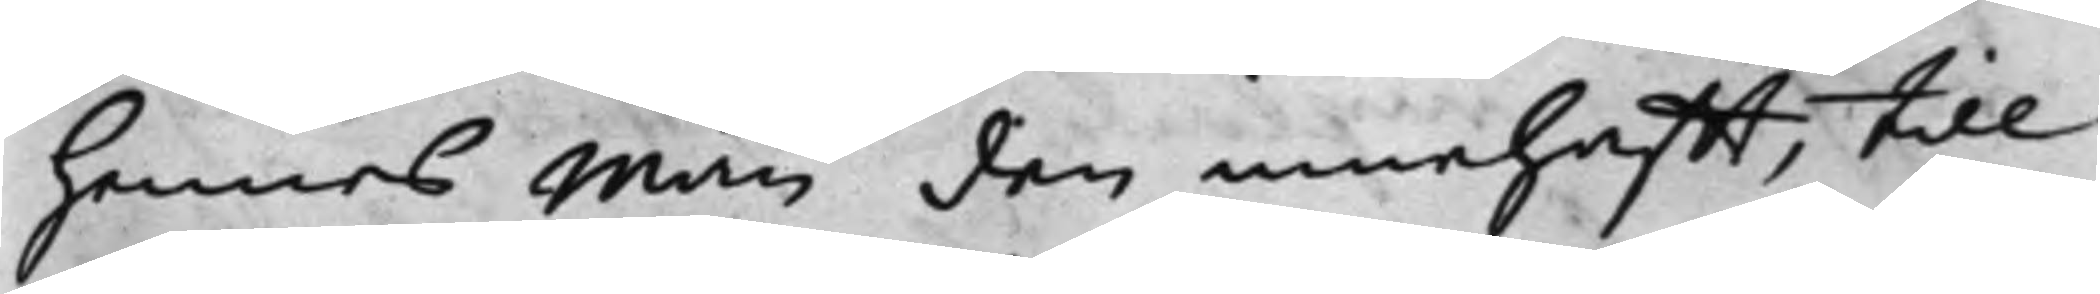hennes Man den innehafft, till
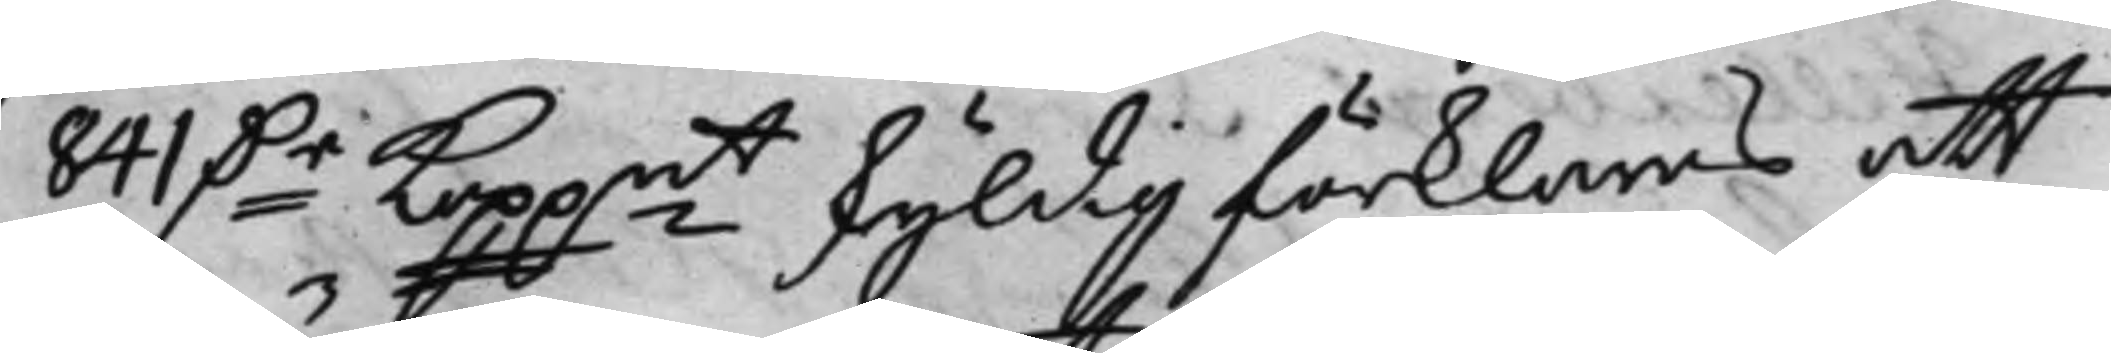841 D.r Koppmt skyldig förklaras att
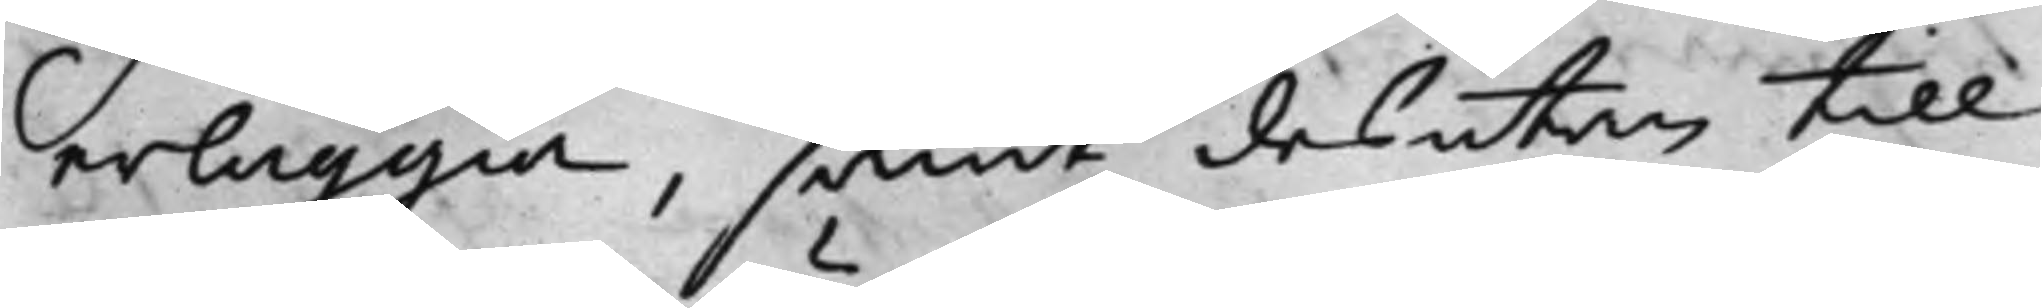erläggia, samt desutan till
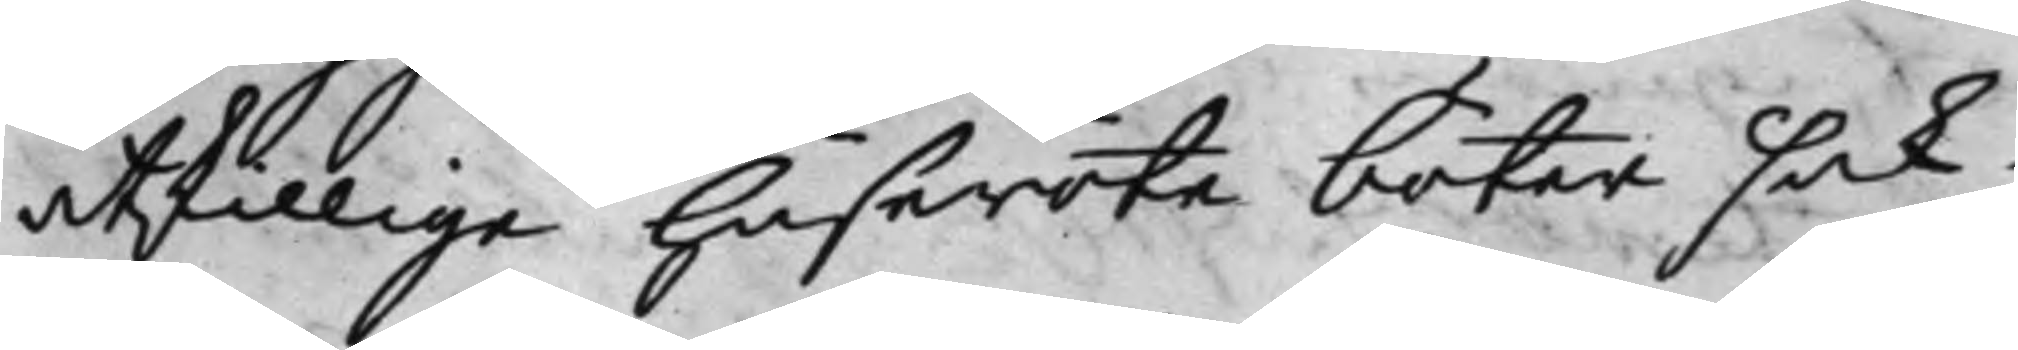åtskillige huseröte böter sak¬
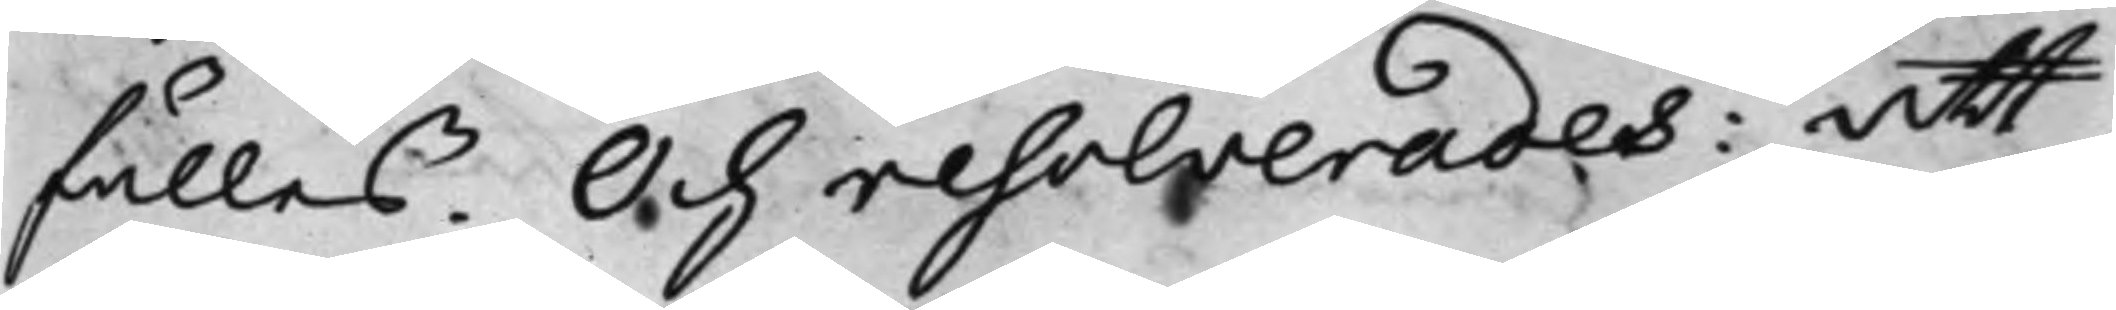fälles. Och resolverades: Att
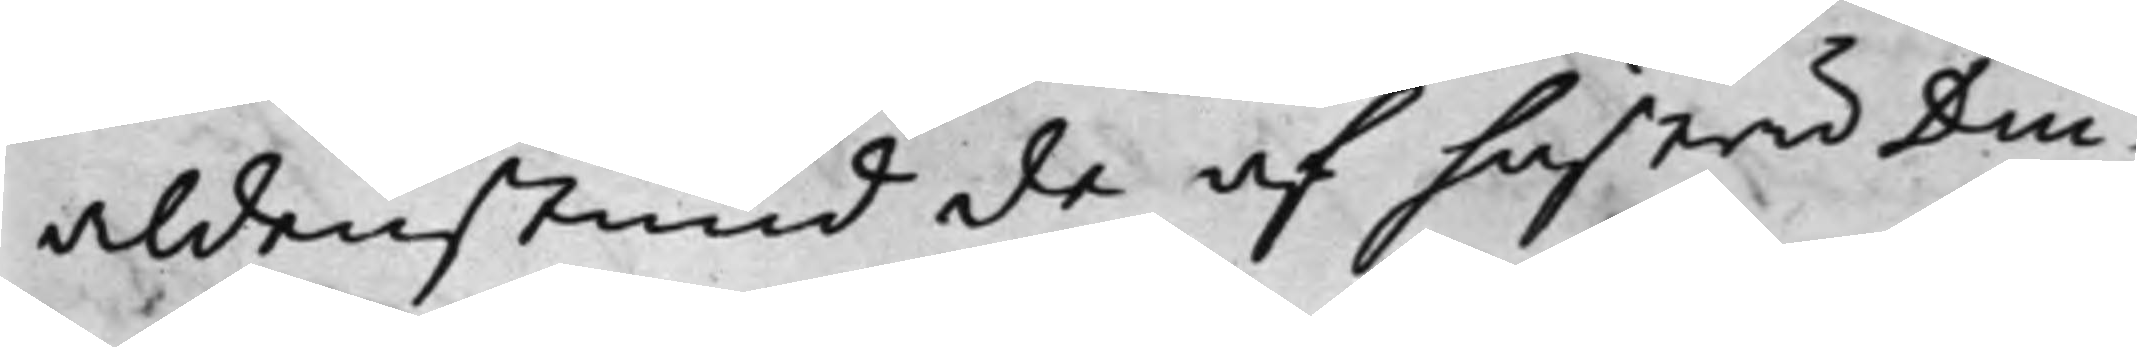aldenstund de af hustru Dui¬
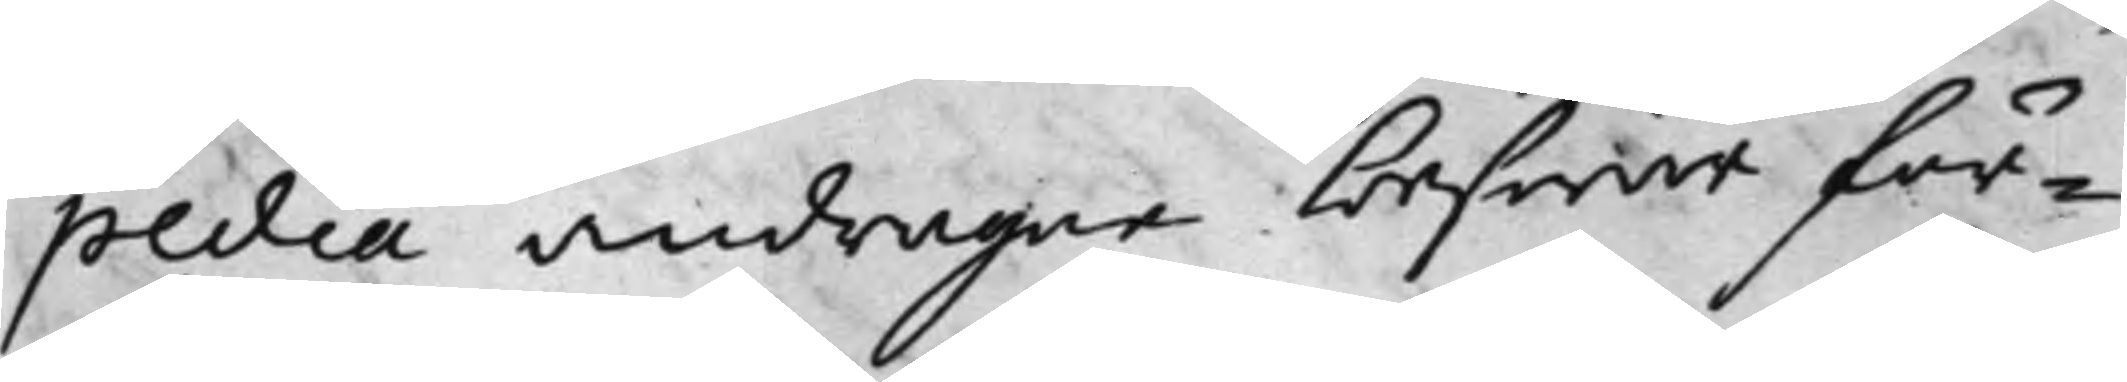pedia andragne beswär för¬
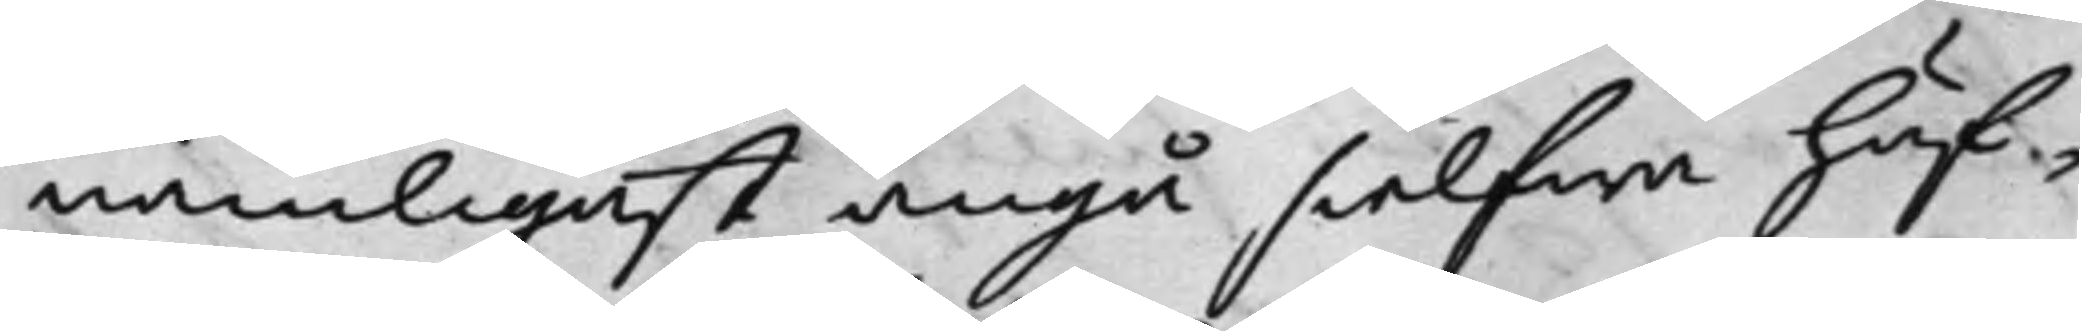nämligast angå sielfwa huf¬
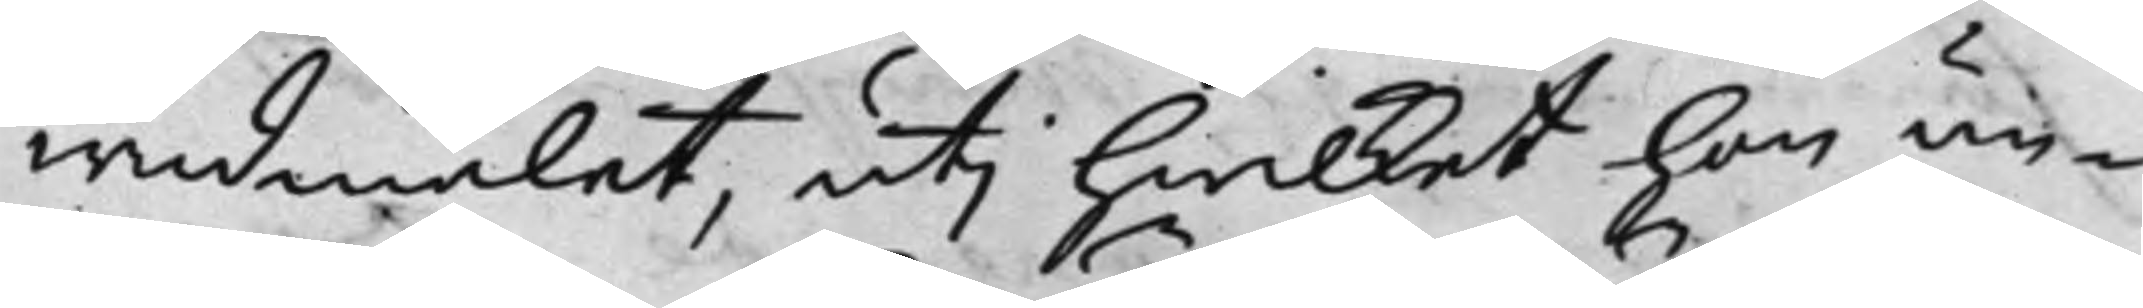wudmålet, uti hwilket hon un¬
